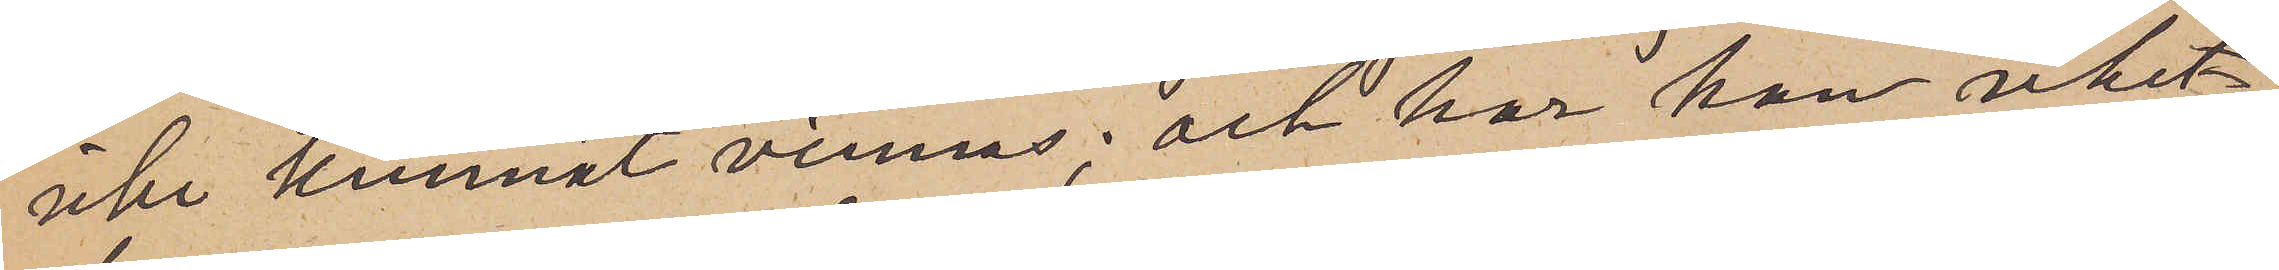icke kunnat vinnas; och har han icket
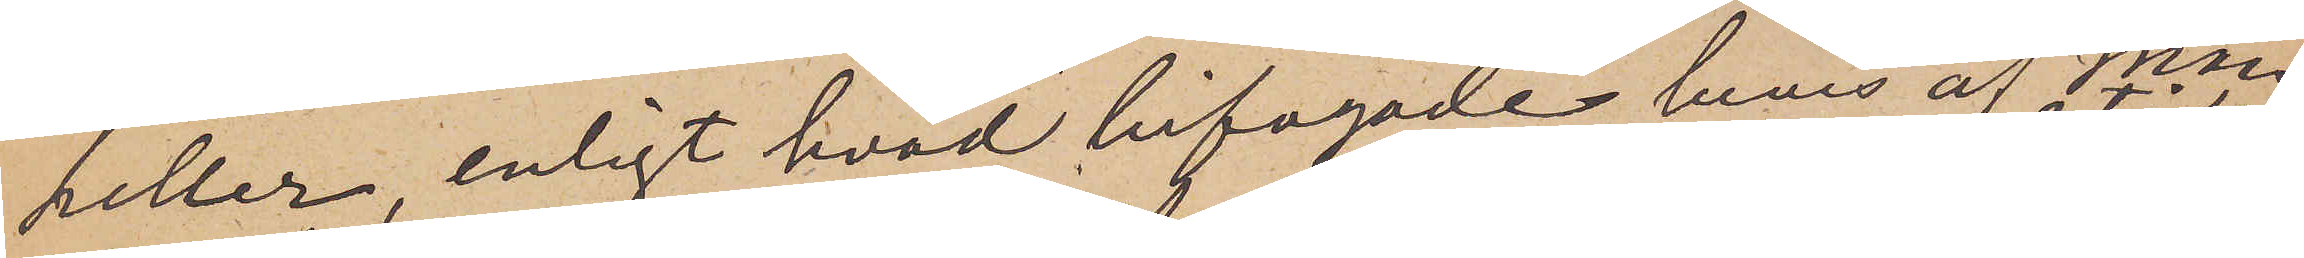heller enligt hvad bifogade bevis af Man¬
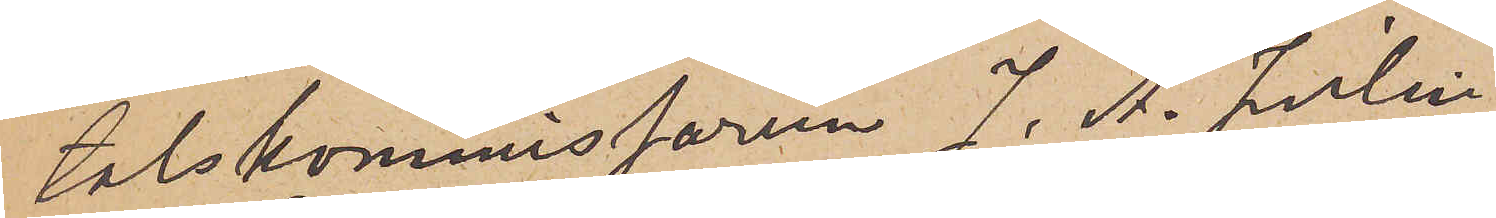talskommissarien J. A. Julin
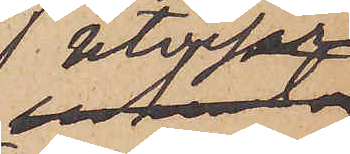utvisar
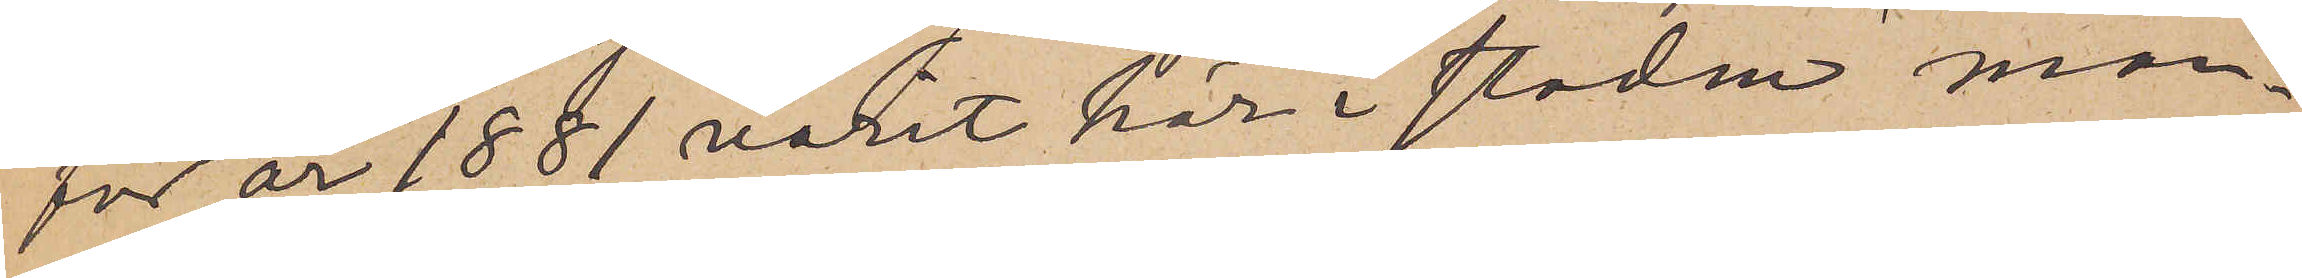för år 1881 varit här i staden man¬
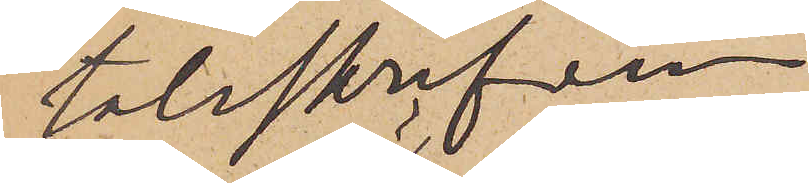talsskrifven.
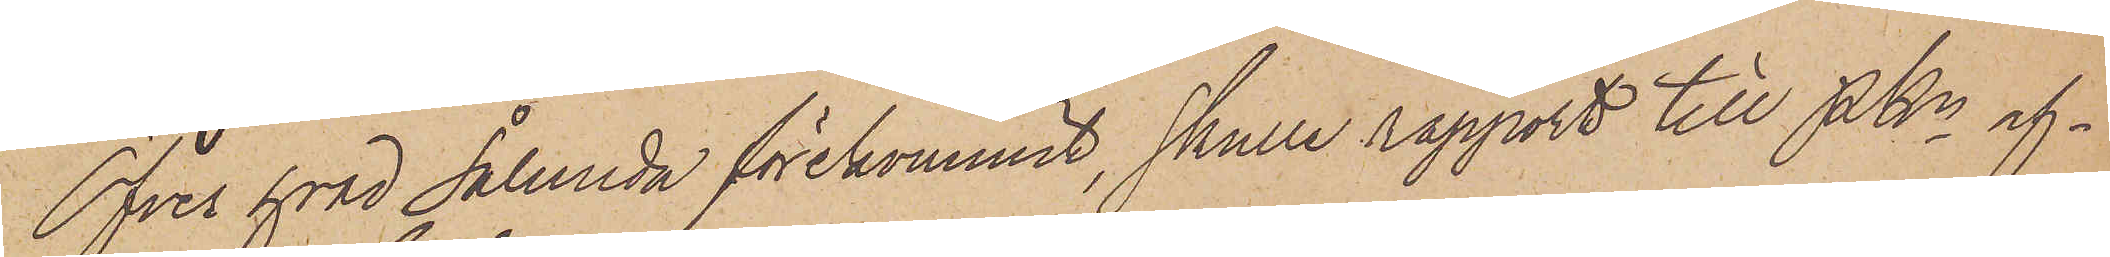Öfver hvad sålunda förekommit, skulle rapport till PKn af¬
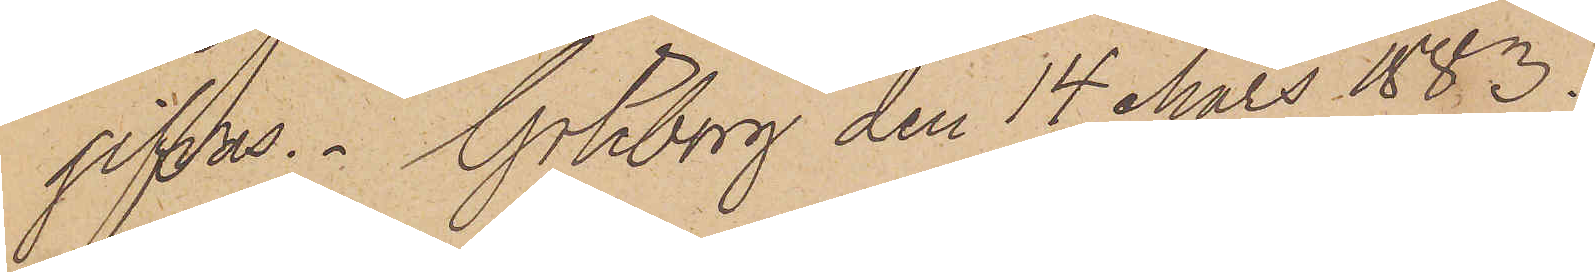gifvas. Göteborg den 14 Mars 1883.
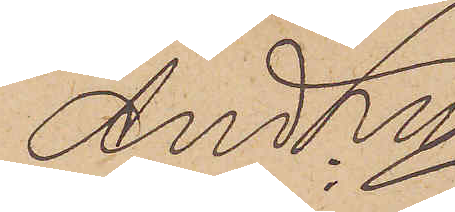And Ln
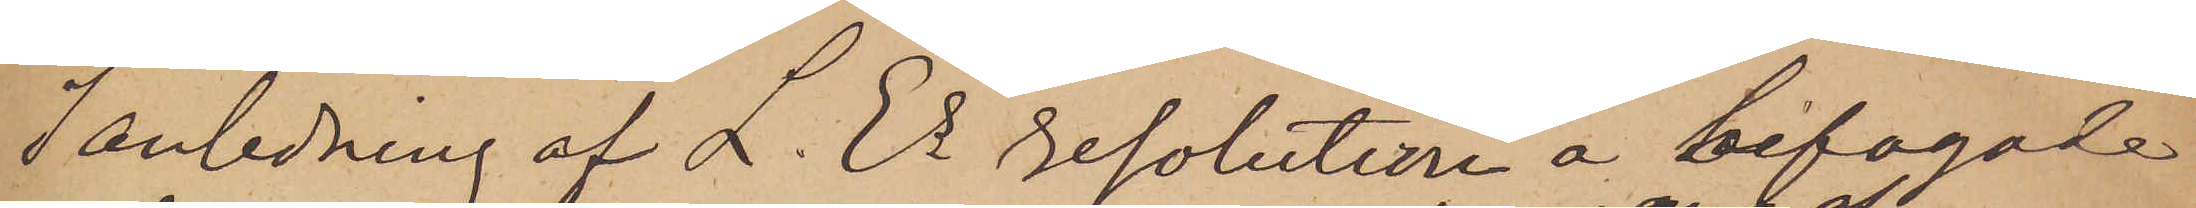I anledning af L. Es resolutin å bifogade
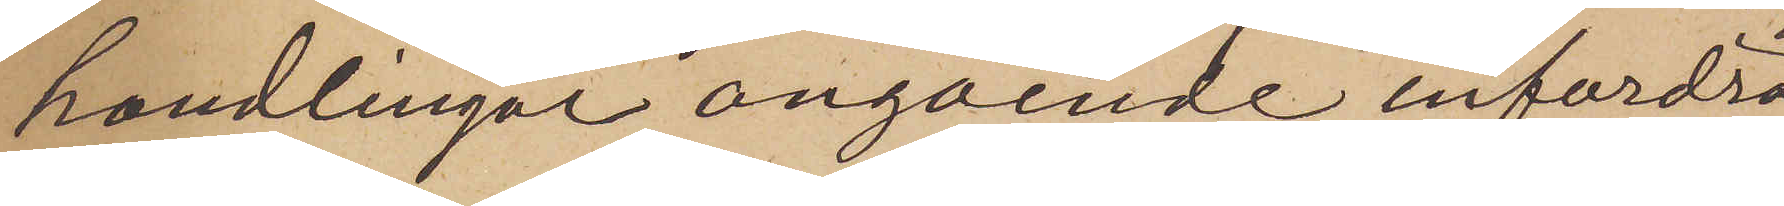handlingar angående infordra
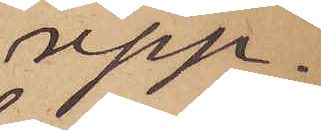upp¬
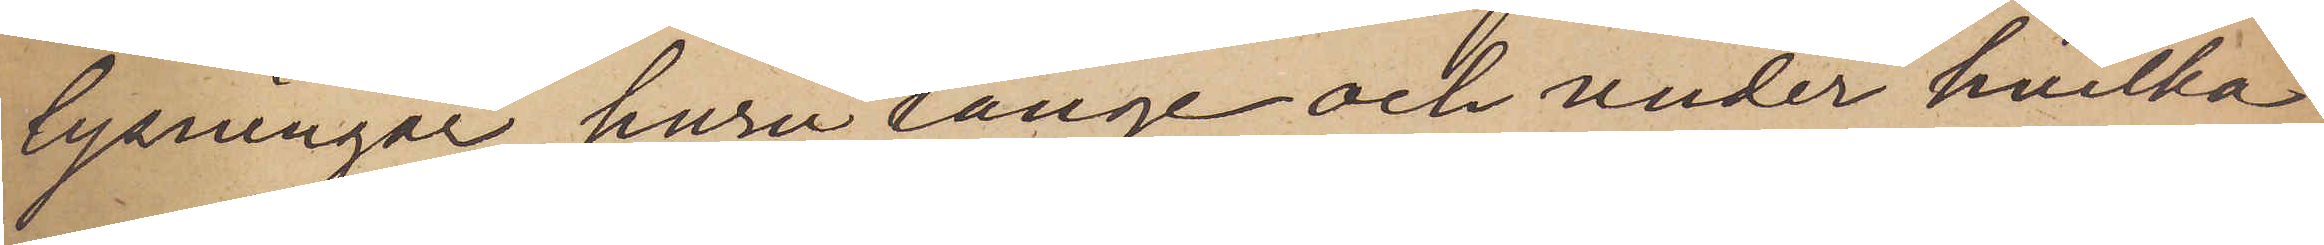lysningar huru länge och under hvilka
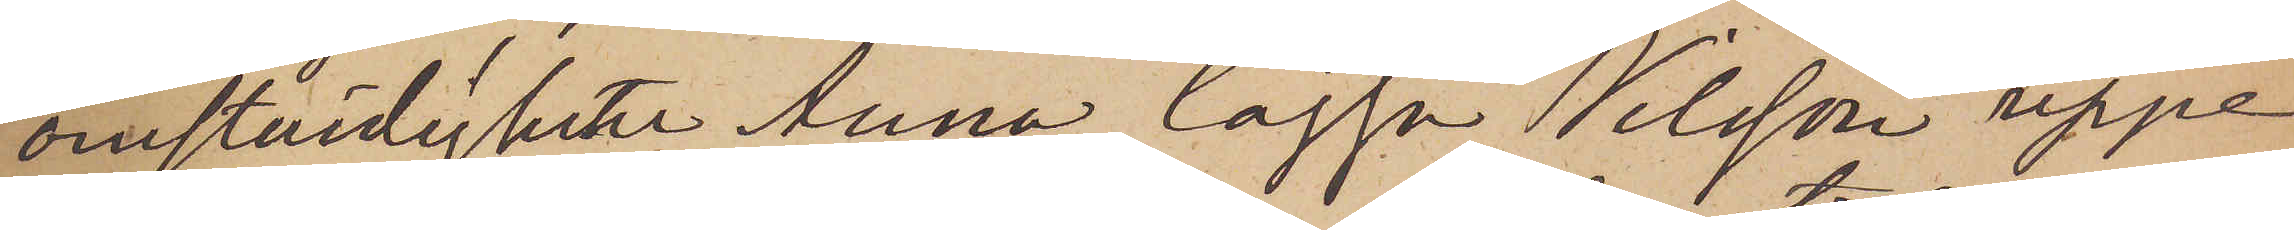omständigheten Anna Cajsa Nilsson uppe¬
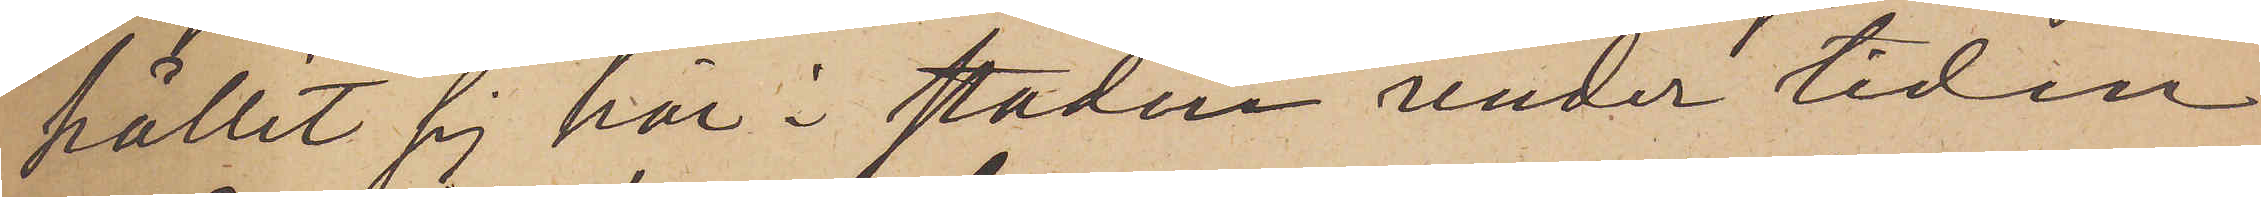hållit sig här i staden under tiden
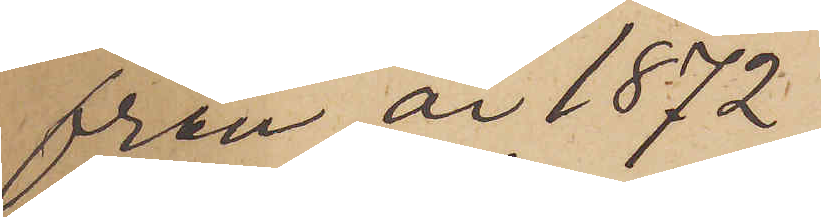från år 1872,
